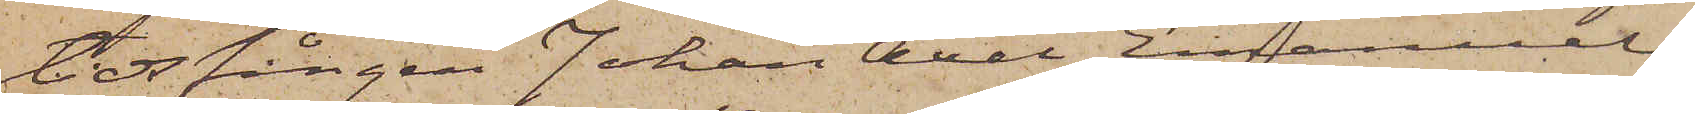tidsfången Johan Axel Emanuel
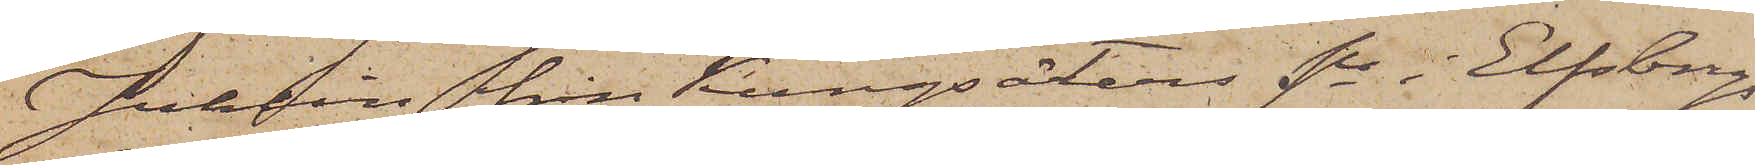Juhlin från Kungsäters sn i Elfsborgs
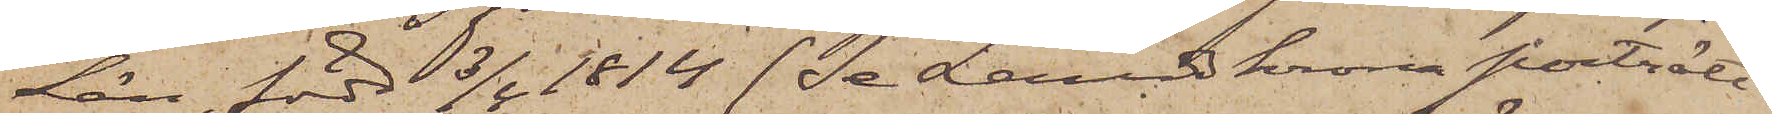Län, född 3/4 1814 (Se Landskrona porträtt
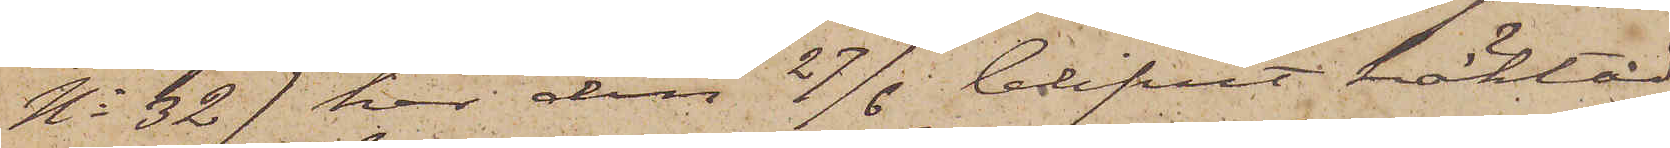No 32) har den 27/6 blifvit häktad
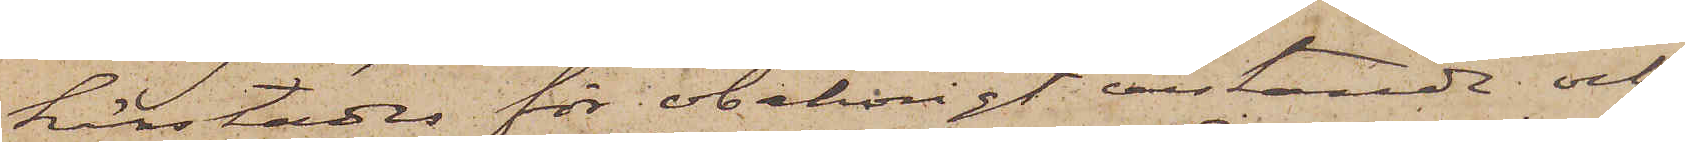härstädes för obehörigt vistande och
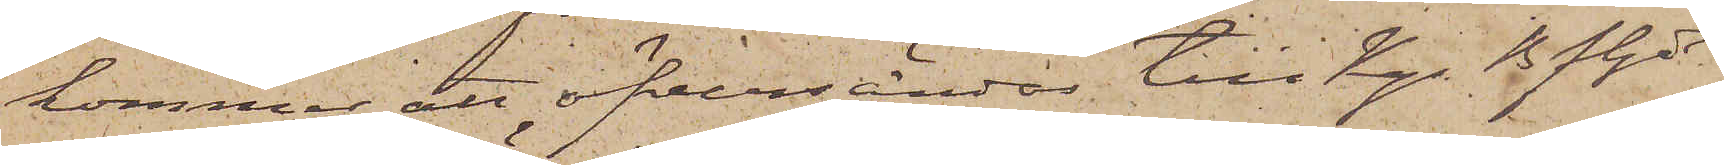kommer att öfversändas till Kgs Bfhde
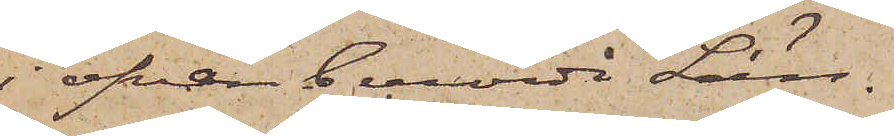i ofvan berörde Län.
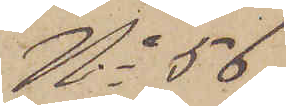No 56
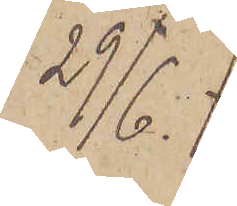29/6.
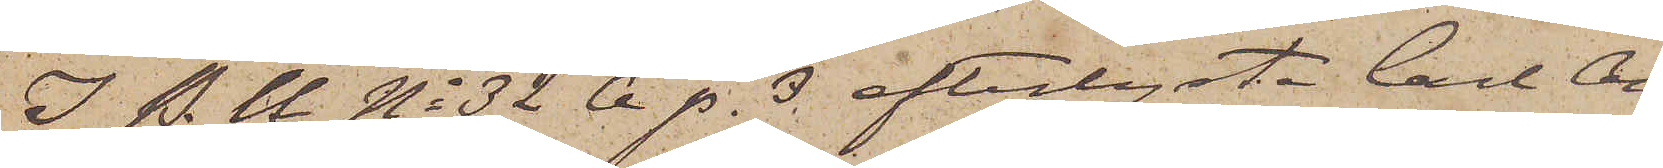I. P. U No 32 A. p. 3 efterlysta Carl An¬
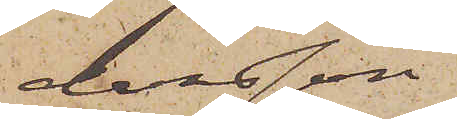dersson
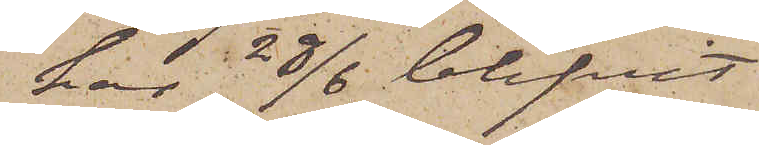har 28/6 blifvit
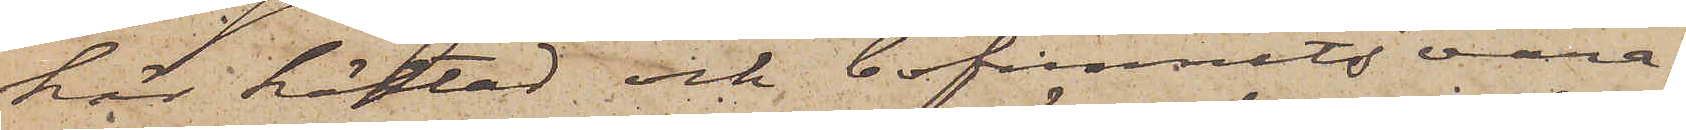här häktad och befunnits vara
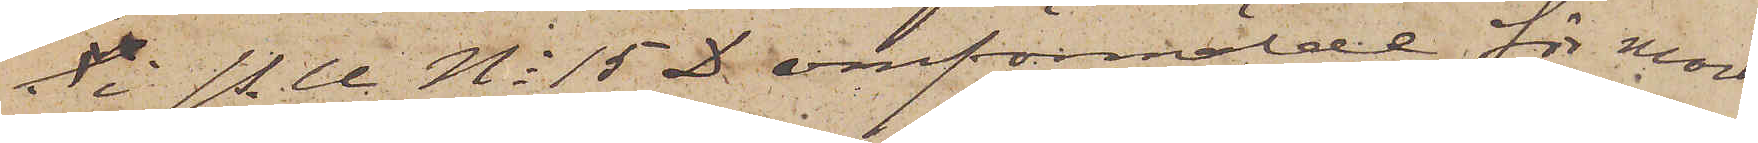i P.U No 15 D omförmälde för mord¬
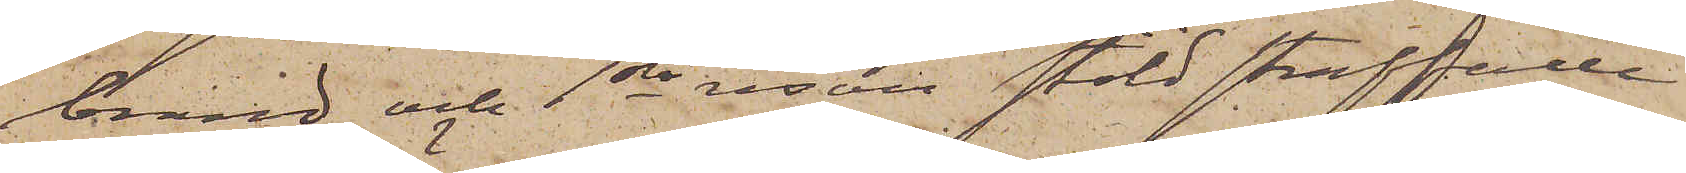brand och 1sta resan stöld straffade
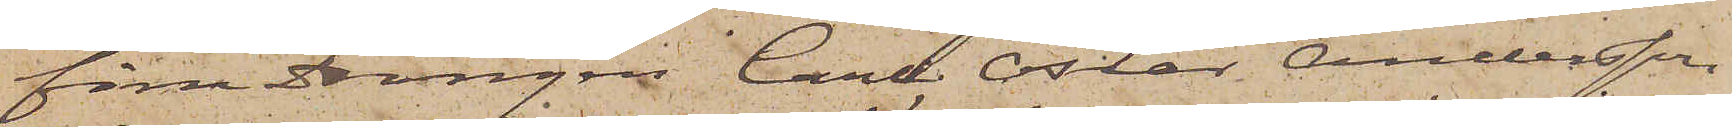förre drängen Carl Oscar Andersson
